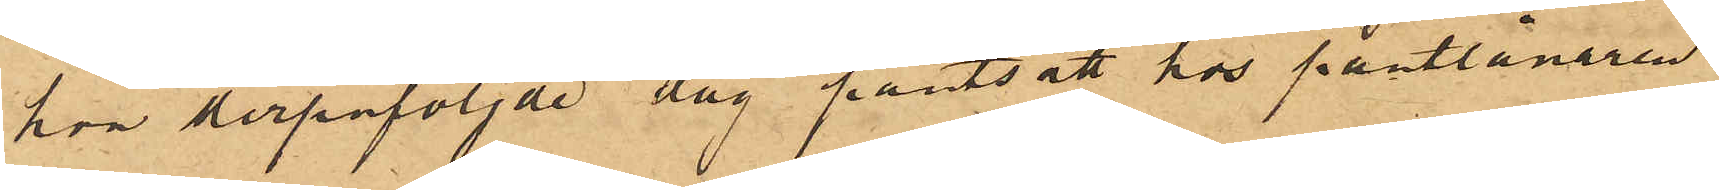hon derpåföljde dag pantsatt hos pantlånaren
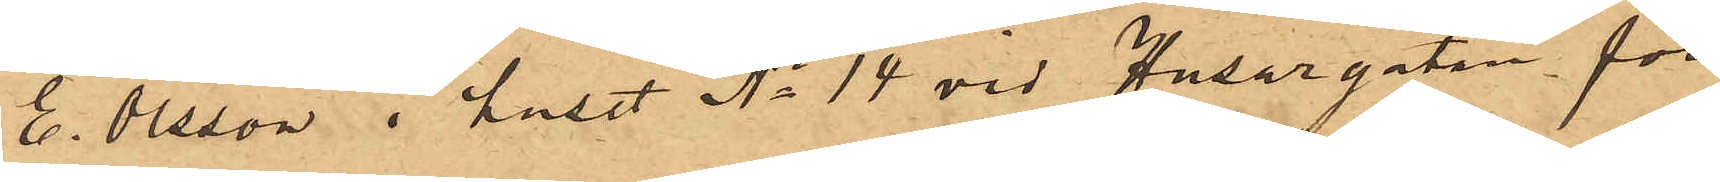E. Olsson i huset No 14 vid Husargatan för
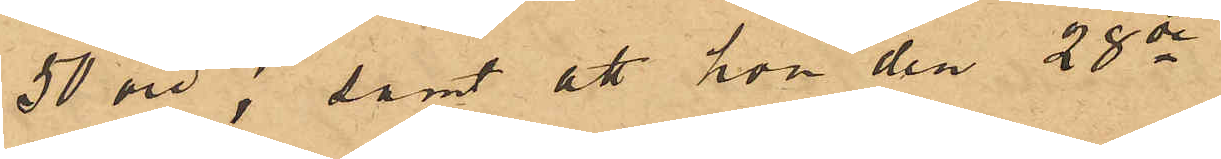50 öre; samt att hon den 28 de
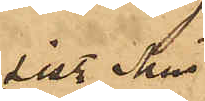sist. Mai
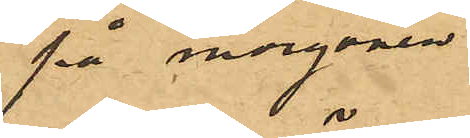på morgonen
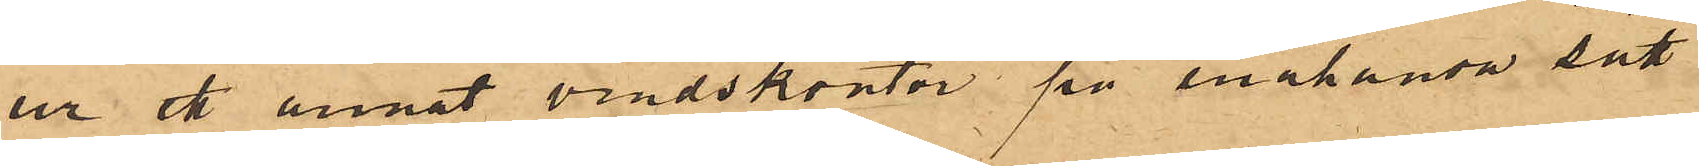ur ett annat vindskontor på enahanda sätt
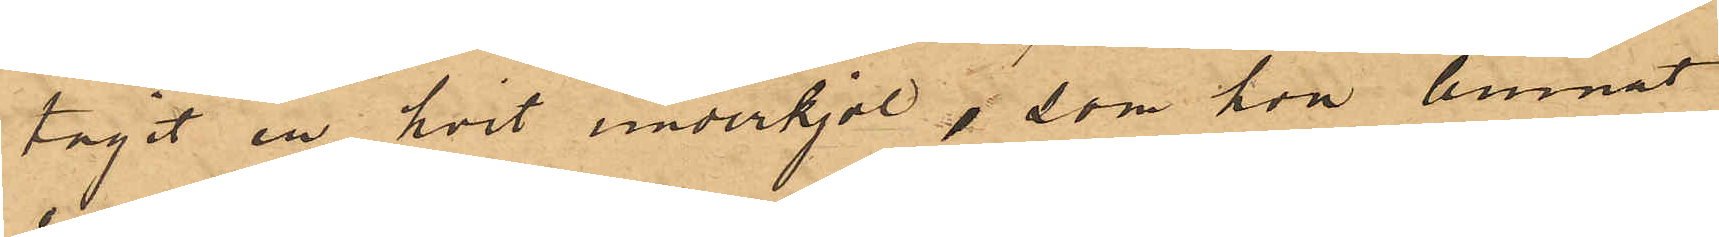tagit en hvit underkjol, som hon lemnat
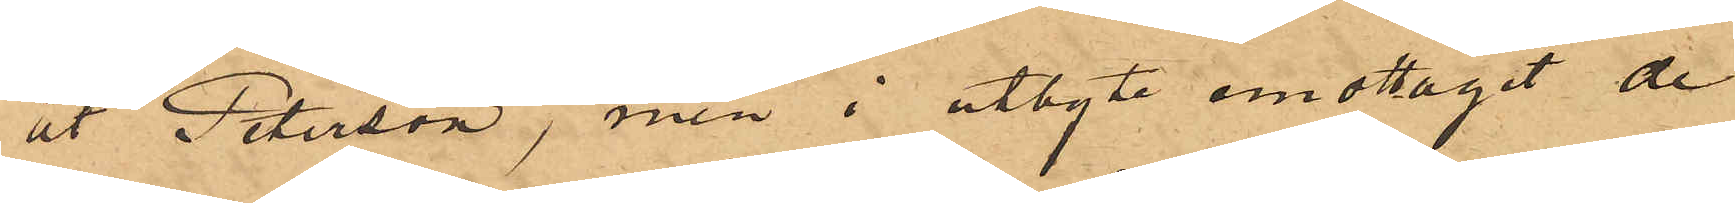åt Peterson, men i utbyte emottagit de
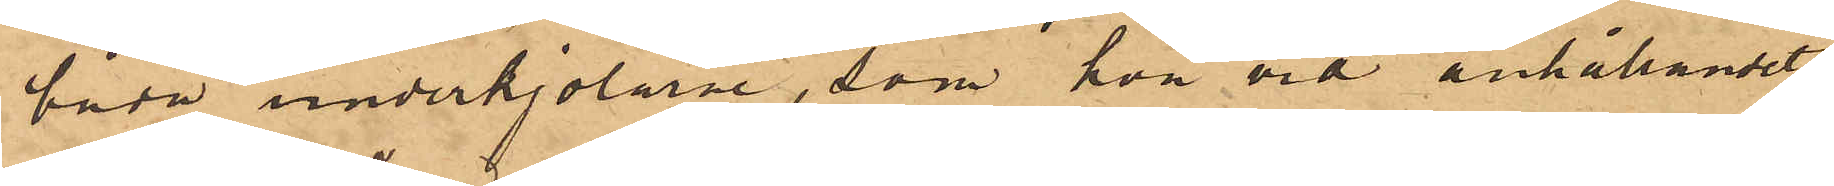båda underkjolarne, som hon vid anhållandet
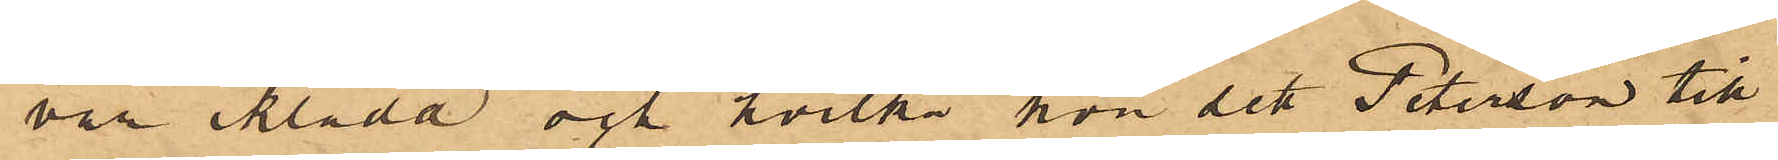var iklädd och hvilka hon och Peterson till¬
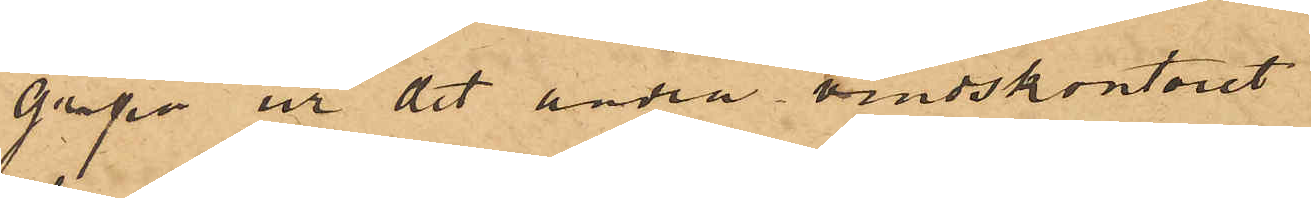gripit ur det andra vindskontoret.
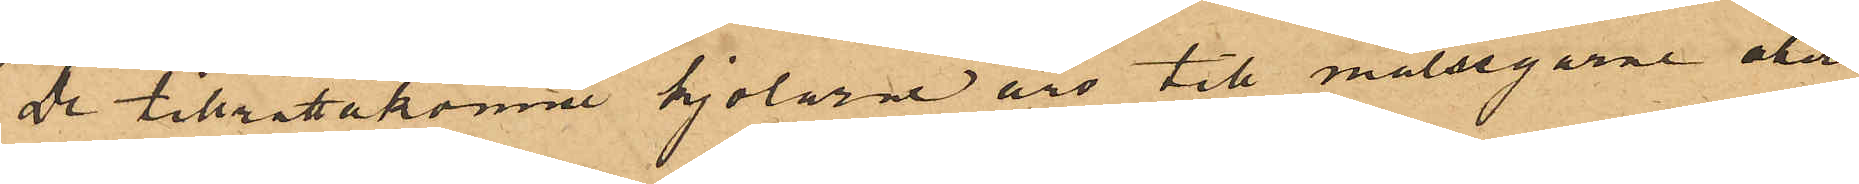De tilrättakomne kjolarne äro till målsegarne åter¬
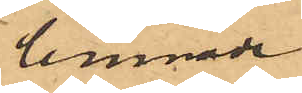lemnade.
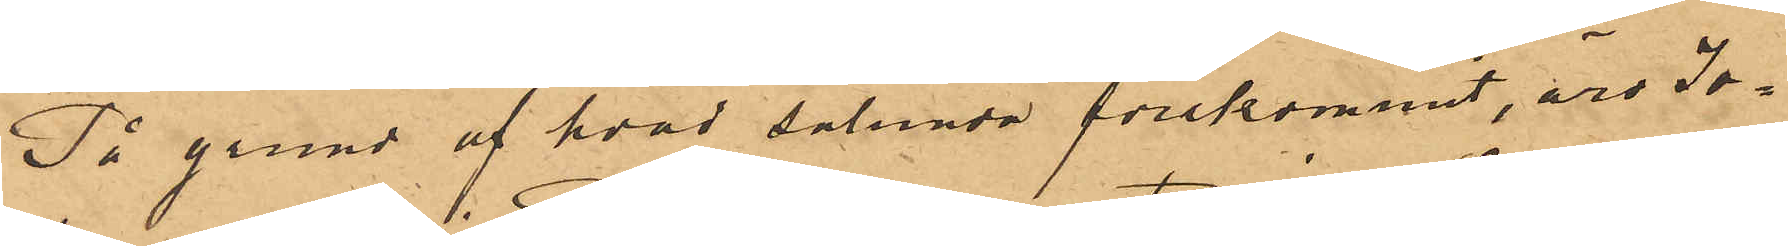På grund af hvad sålunda förekommit, äro Jo¬
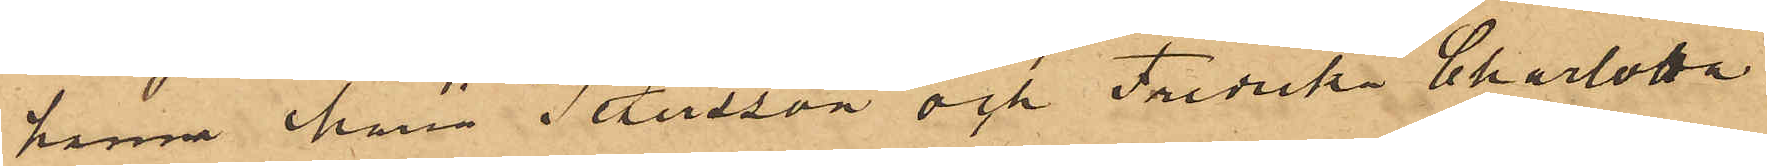hanna Maria Petersson och Fredrika Charlotta
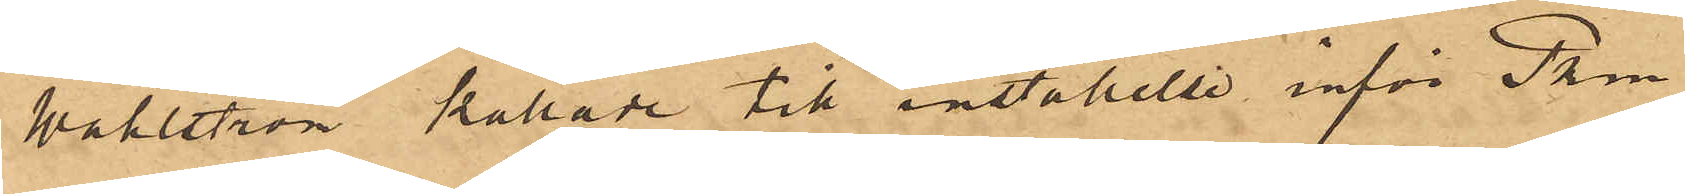Wahlström kallade till inställelse inför Pkm
